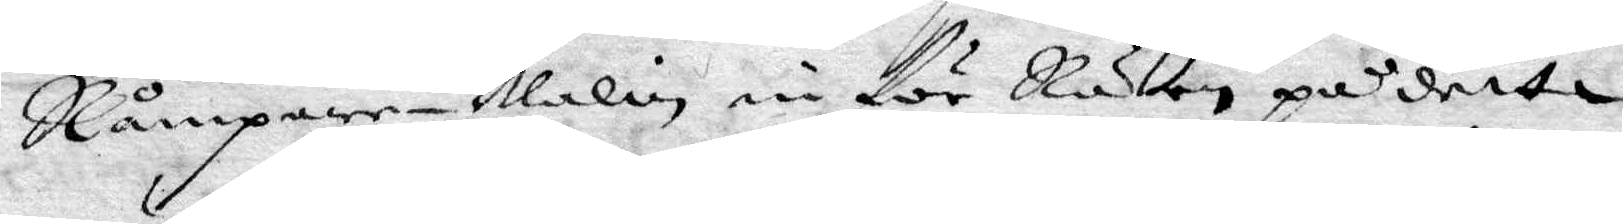Råmpare Malin in för Rätten på detta
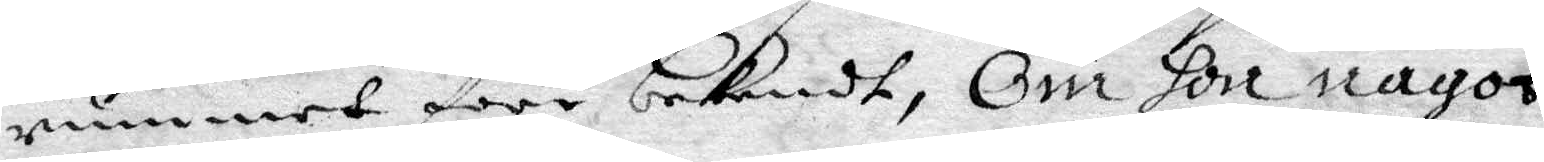rummet före bekendt, Om hon något
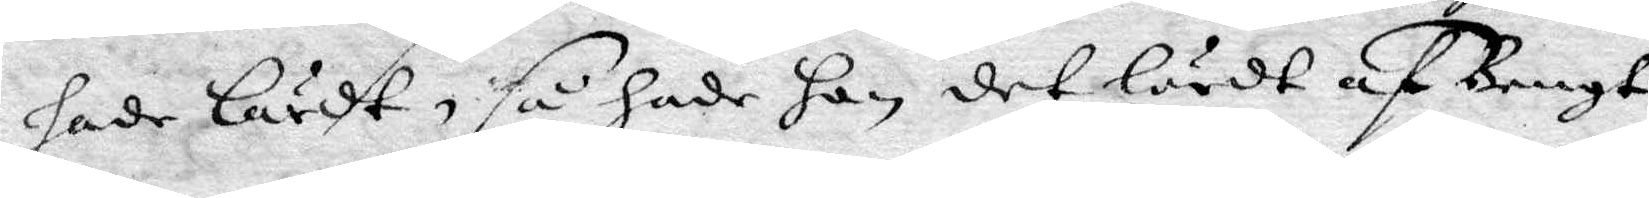hade lärdt, så hade han det lärdt af Bengt
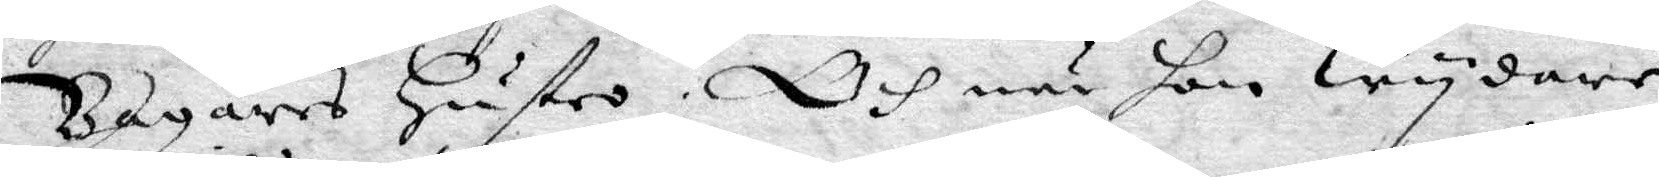Bagares Hustro. Och när hon wydare
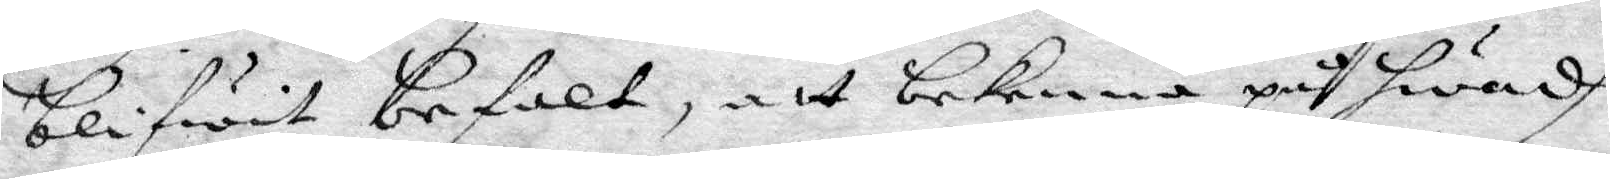blifwit befalt, att bekenna på hwadh
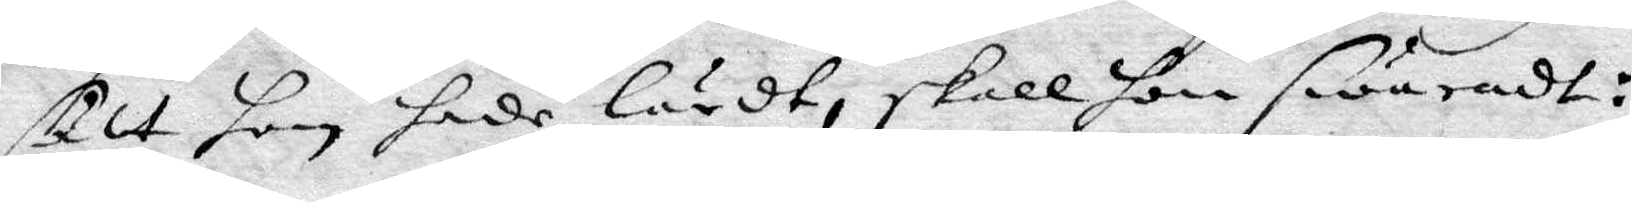sätt hon hade lärdt, skall hon swaradt:
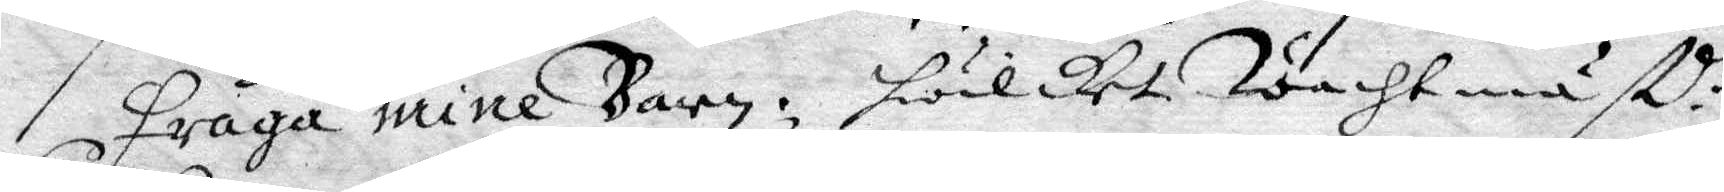Fråga mine barn, hwilket Wachtmäst:n
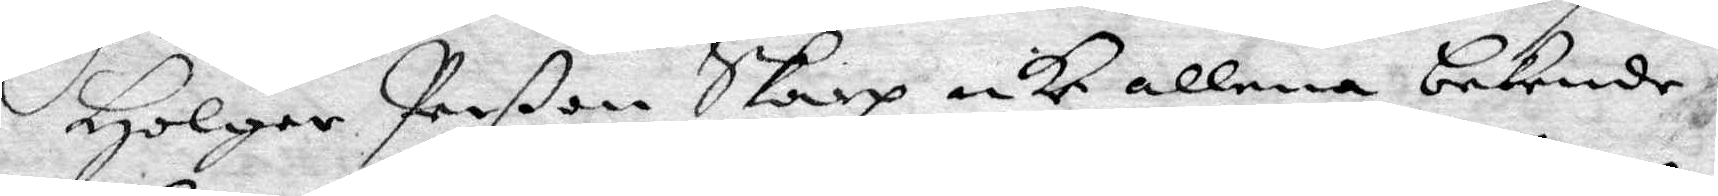Holger Perßon Skarp icke allena bekende,
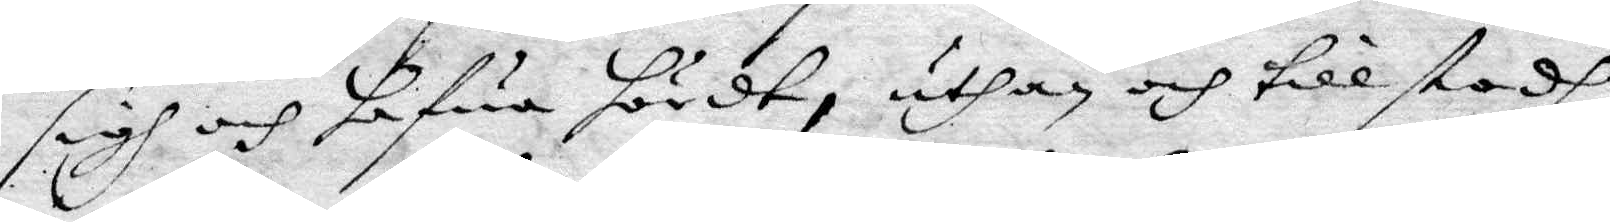sigh och hafwa hördt, uthan och tillstodh,
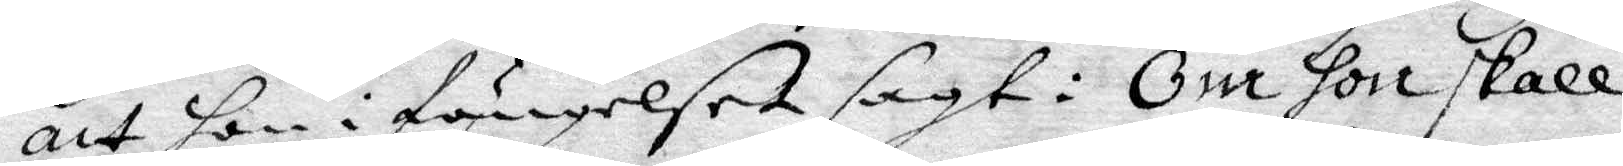att hon i fängelset sagt: Om hon skall
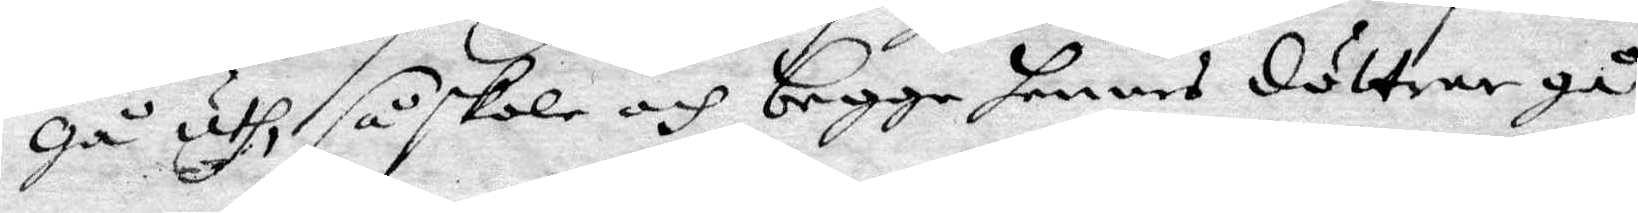gå uthi så skole och begge hennes döttrar gå
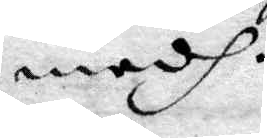medh.
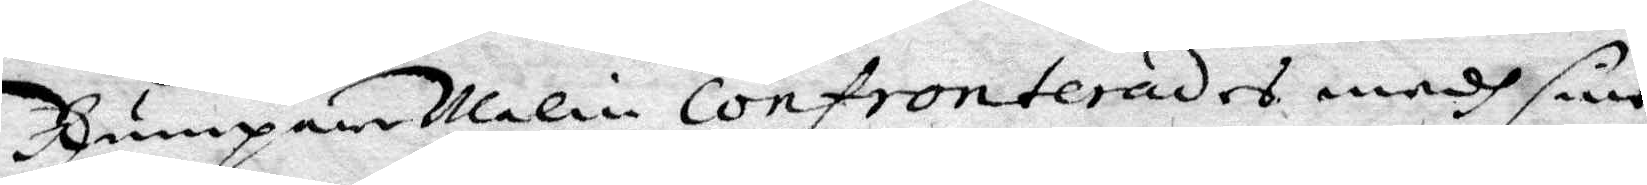Rumpare Malin confronterades medh sine
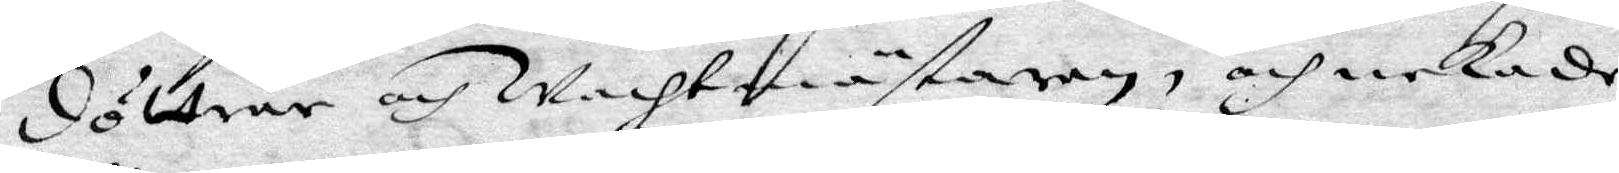döttrar och Wachtmästaren, och nekade
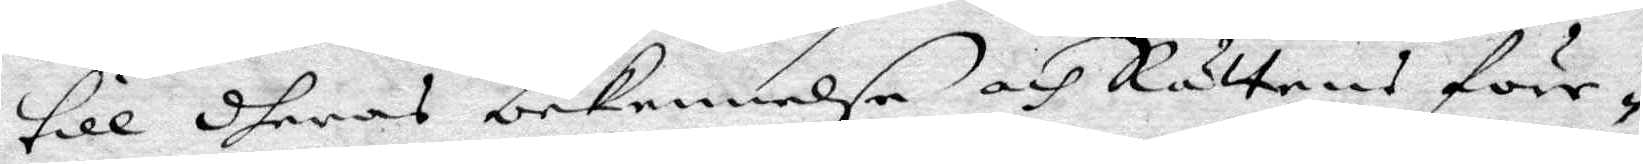till dheras bekennelse och Rättens före¬
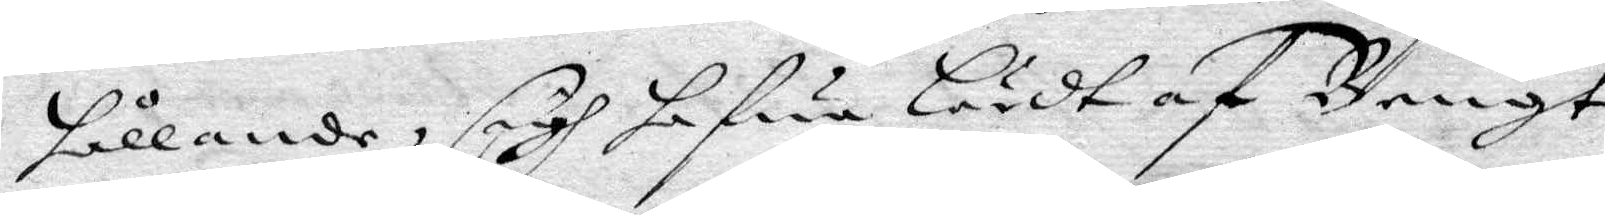hållande, sigh hafwa Lärdt af Bengt
